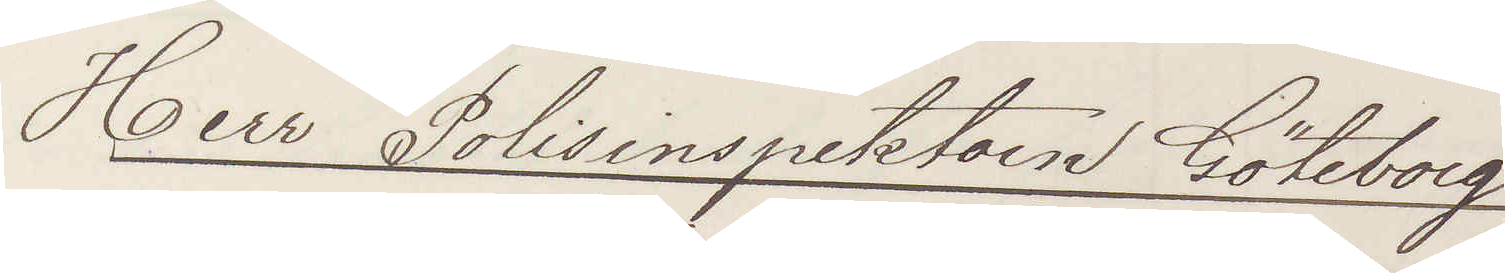Herr Polisinspektorn Göteborg
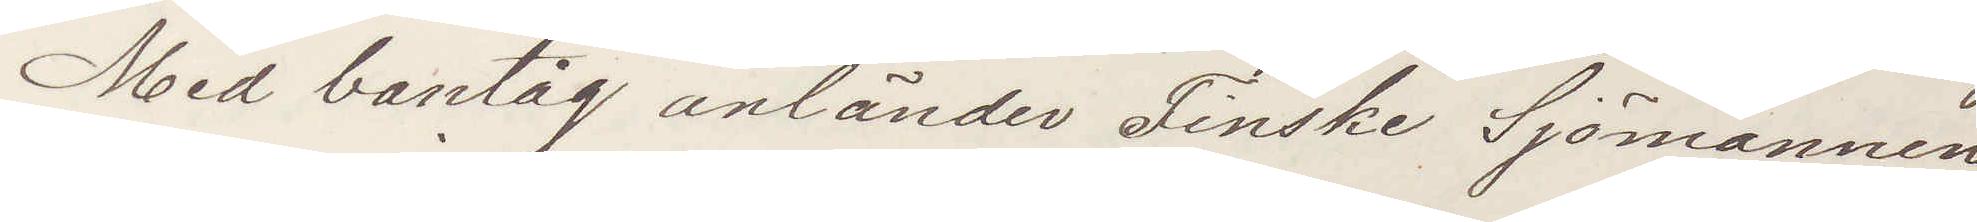Med bantåg anländer Finske Sjömannen
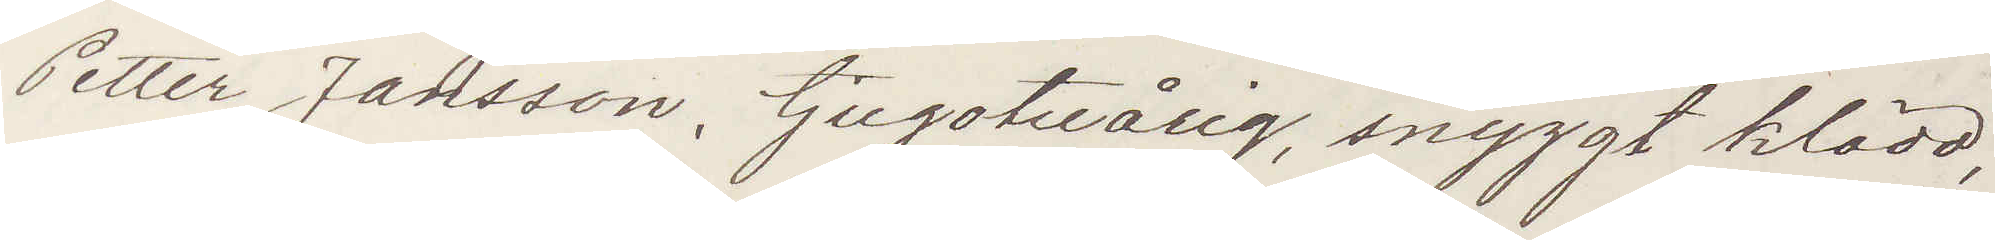Petter Jansson, tjugotreårig, snyggt klädd,
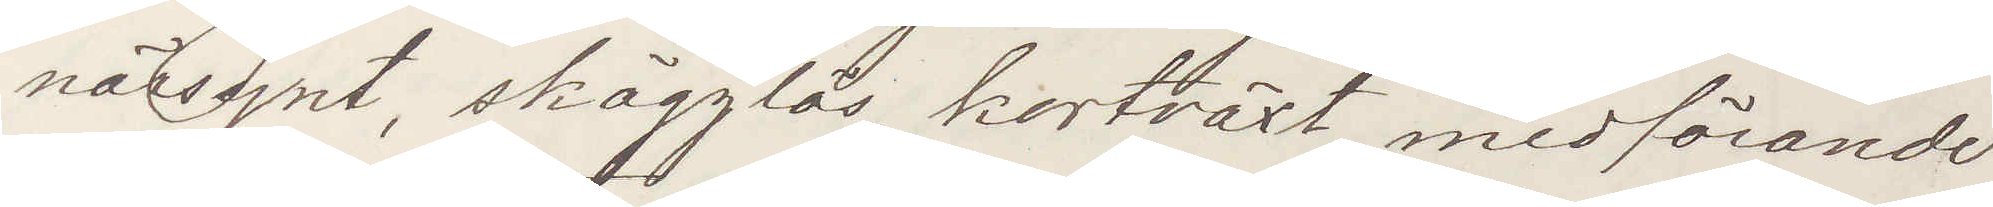närsynt, skägglös, kortväxt, medförande
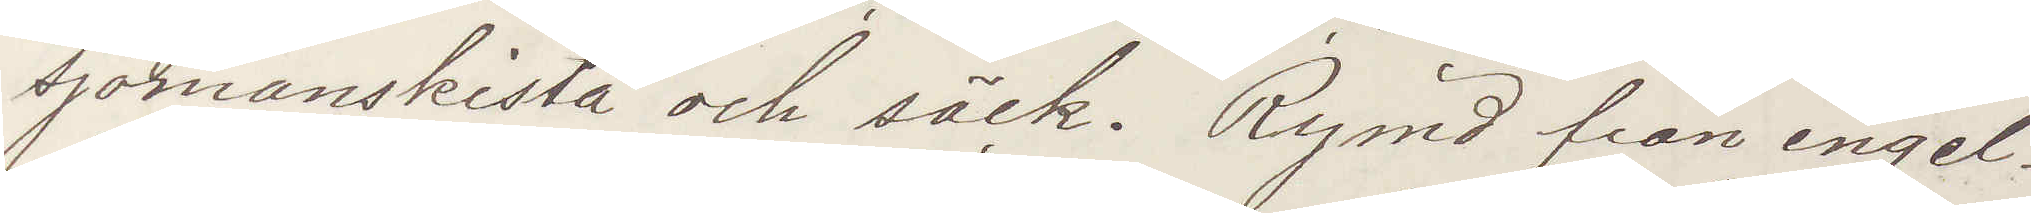sjömanskista och säck. Rymd från engel¬
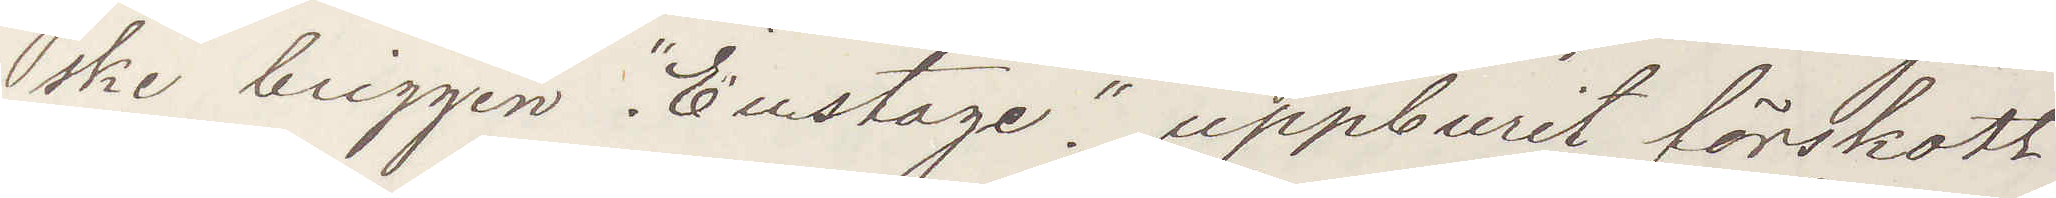ske briggen "Eustage". uppburit förskott
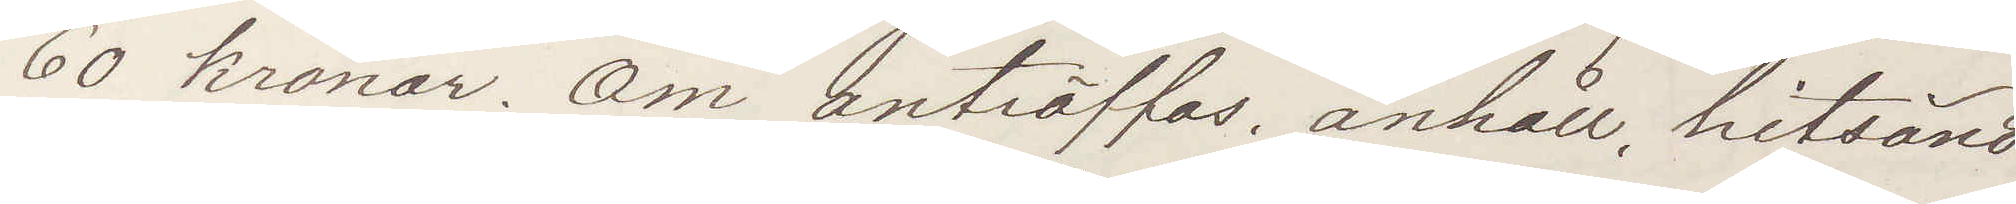60 kronor. Om anträffas, anhåll, hitsänd
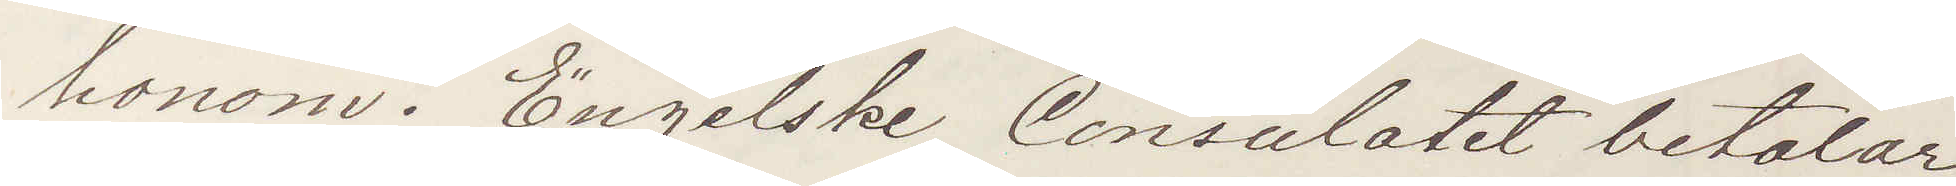honom. Engelske Consulatet betalar
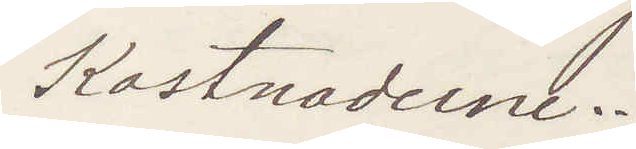Kostnaderne.
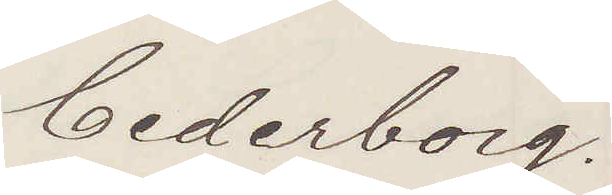Cederberg.
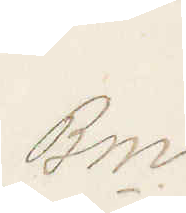Bm.
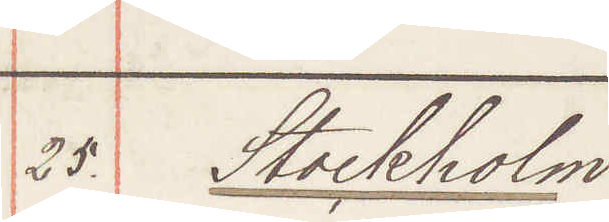25. Stockholm:
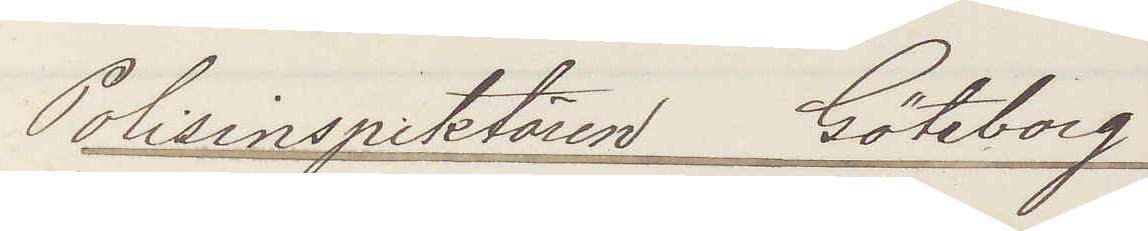Polisinspektorn Göteborg
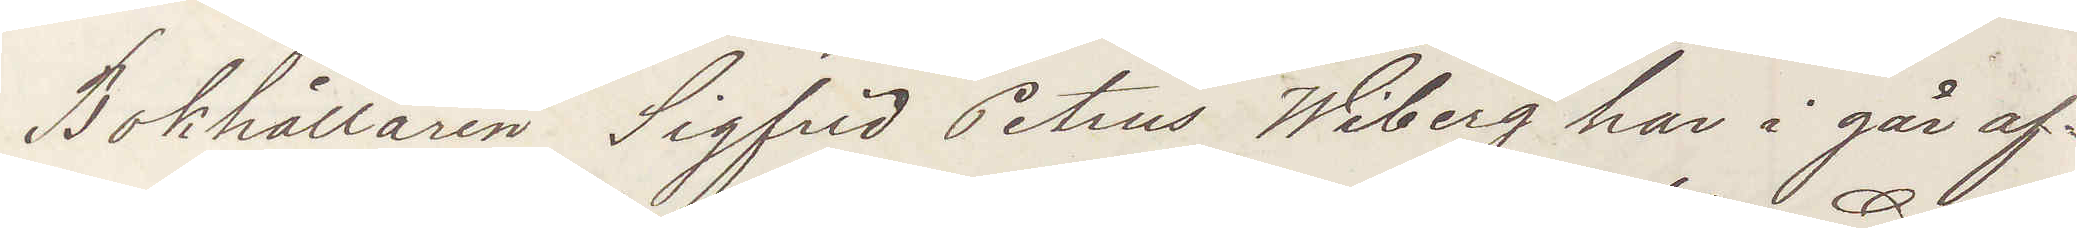Bokhållaren Sigfrid Petrus Wiberg har i går af¬
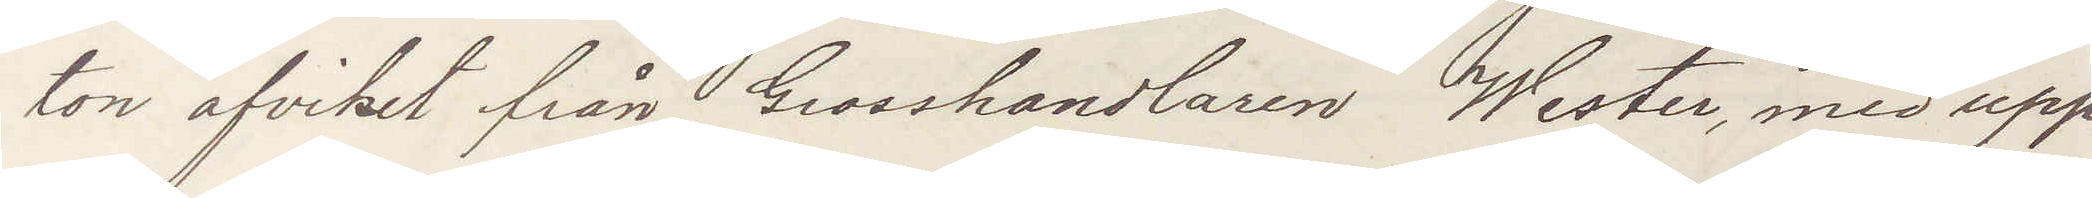ton afvikit från Grosshandlaren Wester, med upp¬
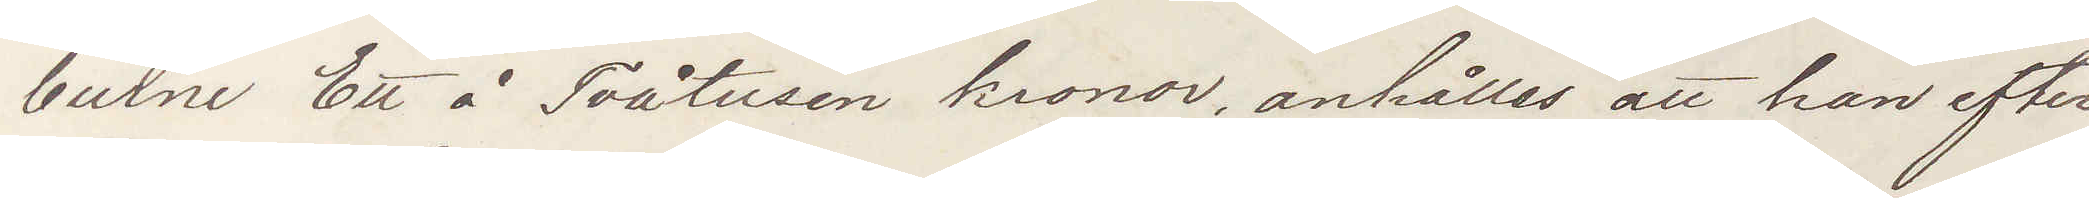burne Ett å Tvåtusen kronor, anhålles att han efter¬
